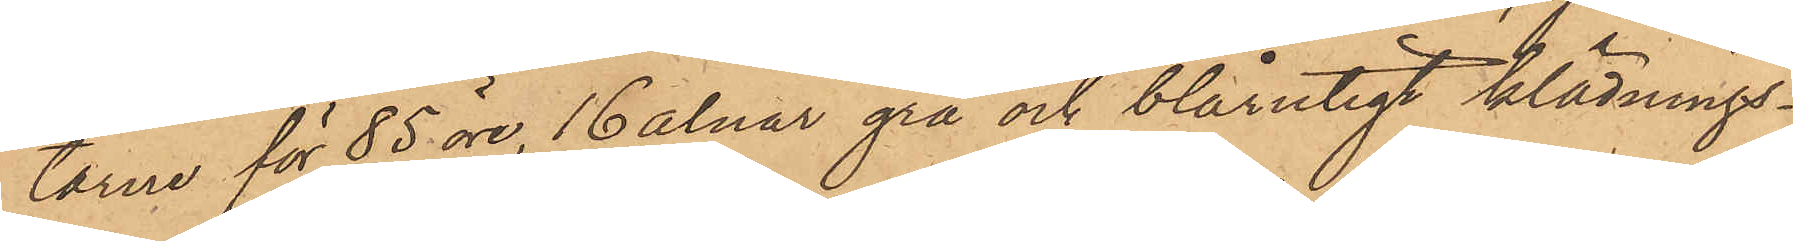tarne för 85 öre, 16 alnar grå och blårutigt klädnings¬
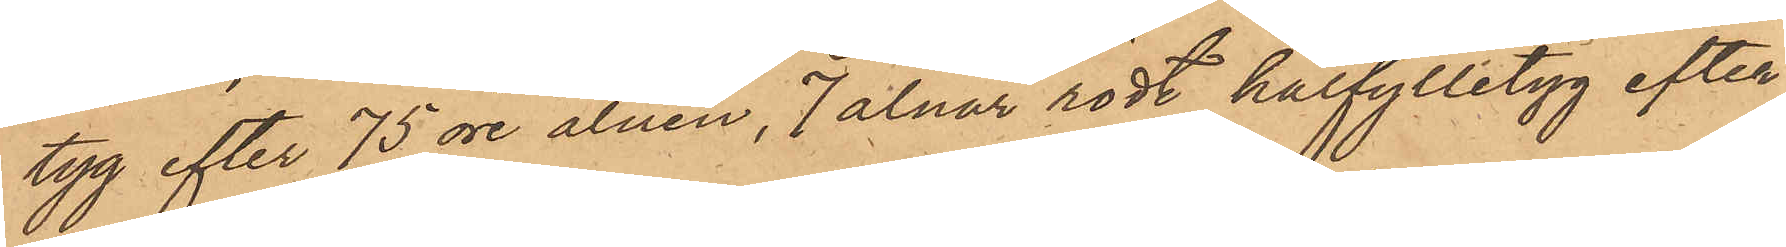tyg efter 75 öre alnen, 7 alnar rödt halfylletyg efter
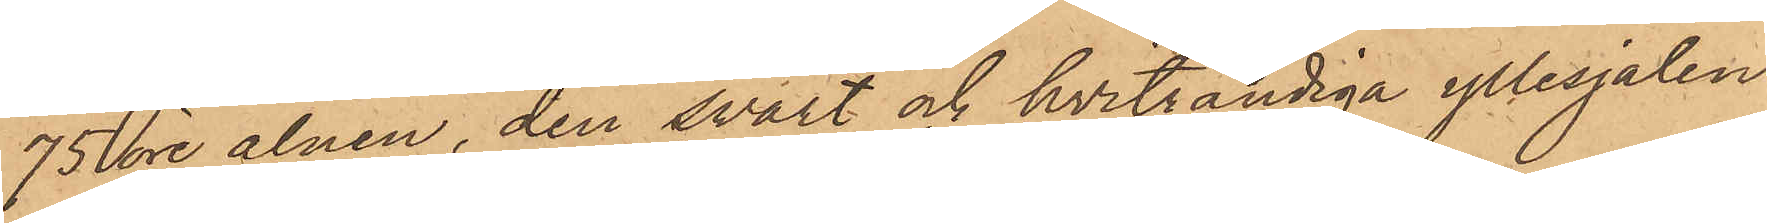75 öre alnen, den svart och hvitrandiga yllesjalen
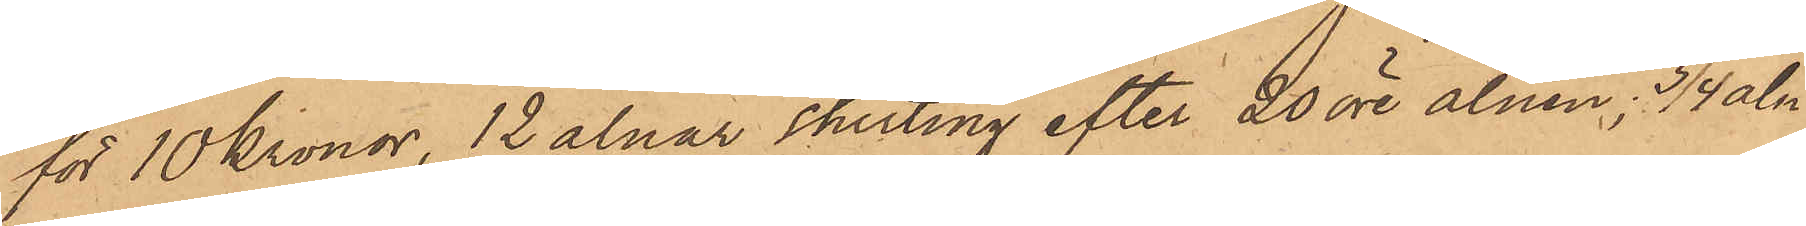för 10 kronor, 12 alnar shirting efter 20 öre alnen, 3/4 aln
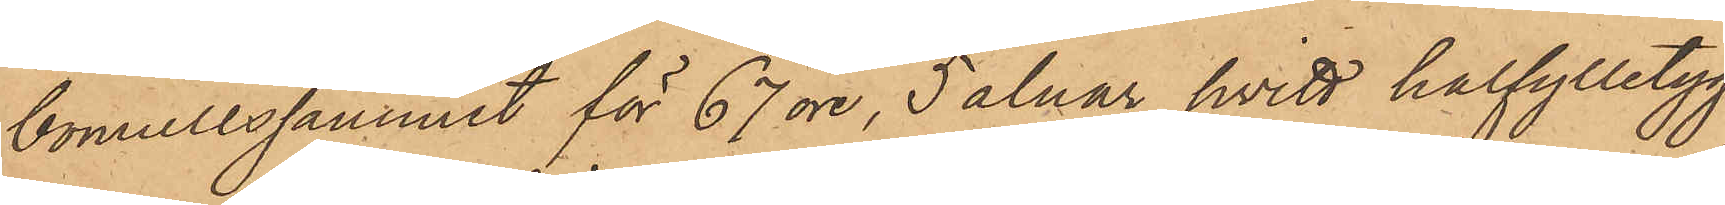bomullssammet för 67 öre, 5 alnar hvitt halfylletyg,
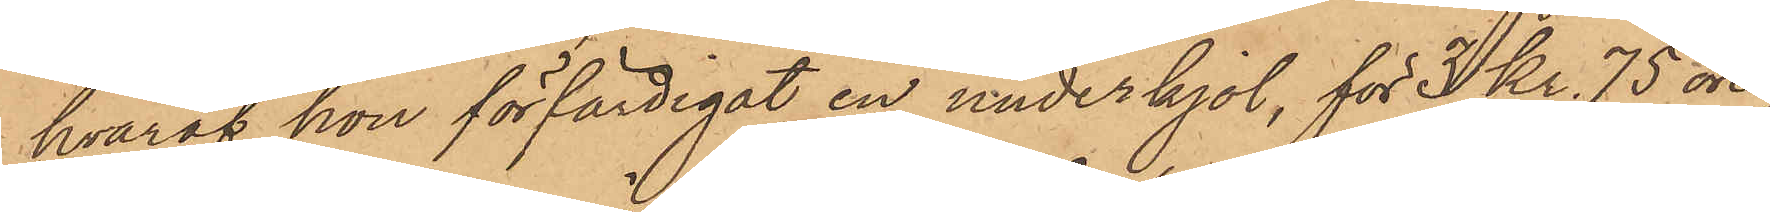hvaraf hon förfärdigat en underkjol, för 3 Kr. 75 öre,
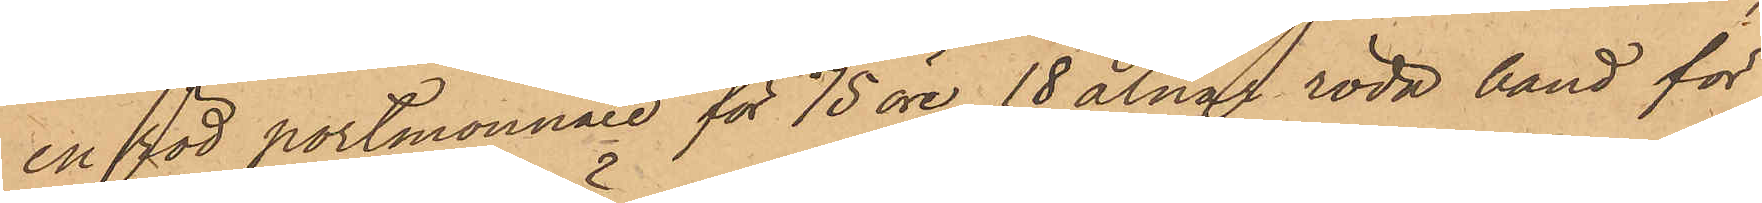en för portmonnaie för 75 öre, 18 alnar röda band för
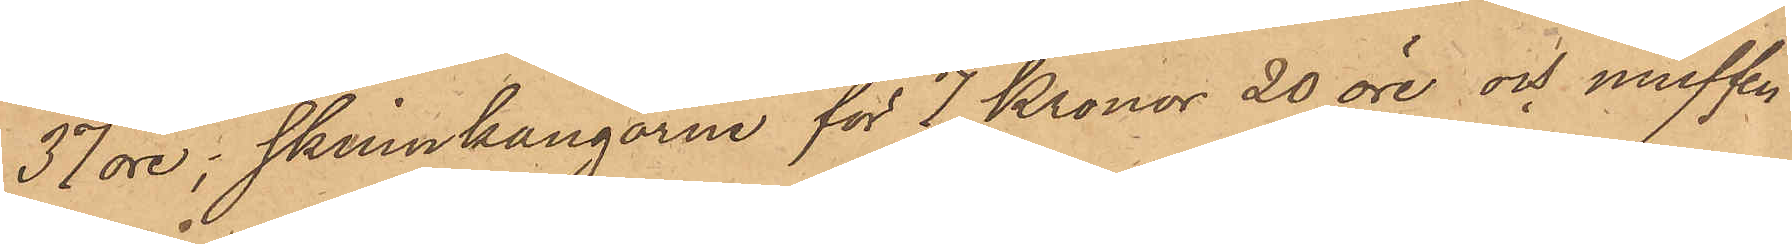37 öre, skinnkängorne för 7 Kronor 20 öre och muffen
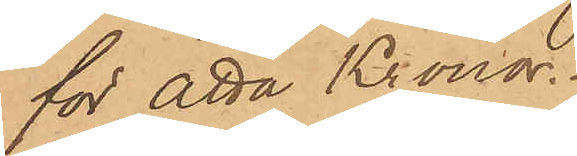för åtta Kronor.
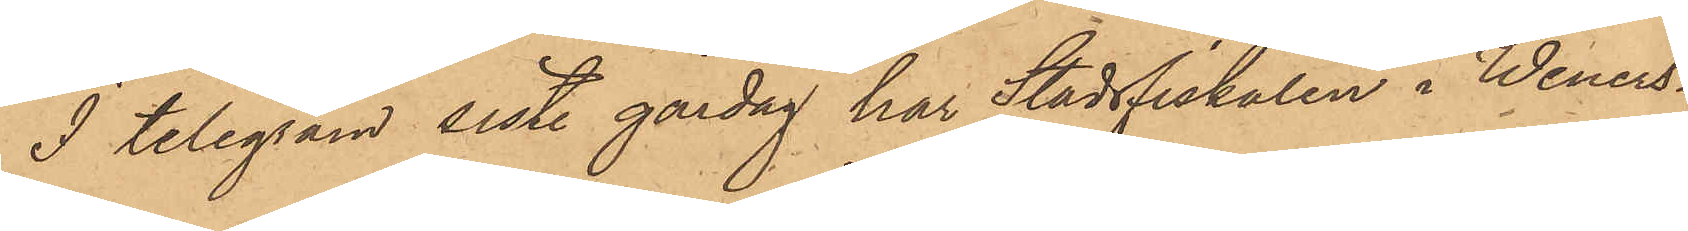I telegram sistl gårdag har Stadsfiskalen i Weners¬
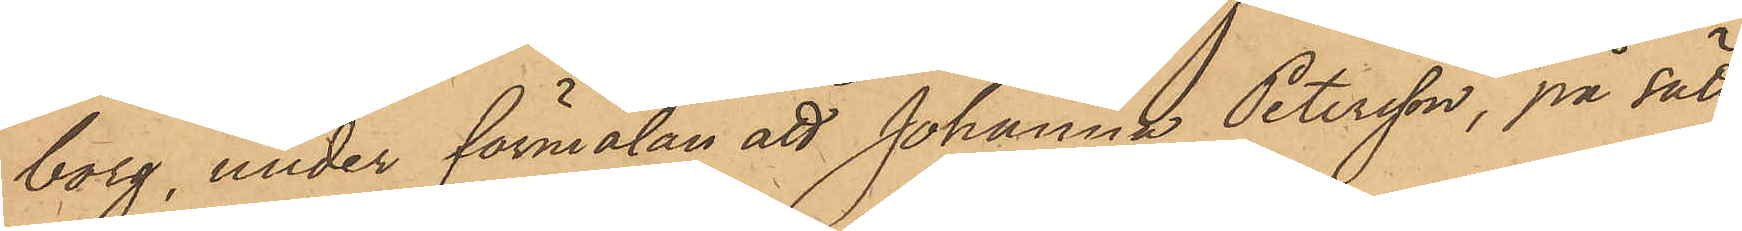borg, under förmälan att Johanna Petersson, på sätt
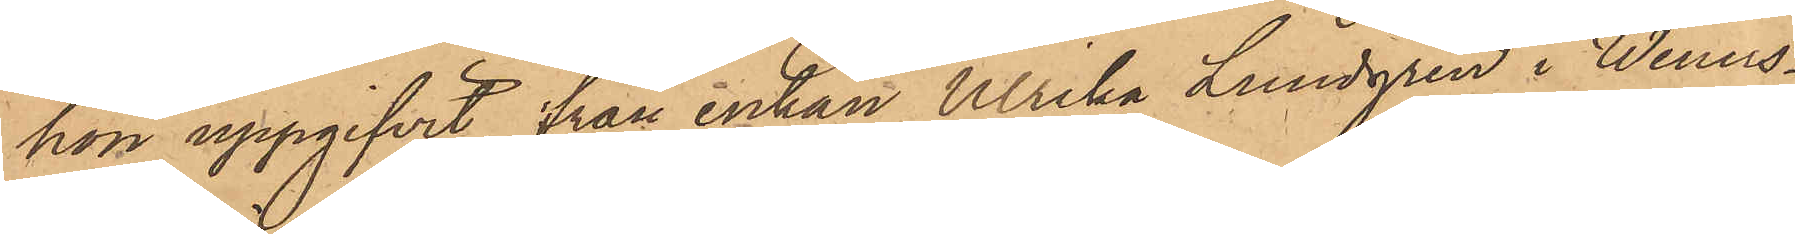hon uppgifvit, från enkan Ulrika Lundgren i Weners¬
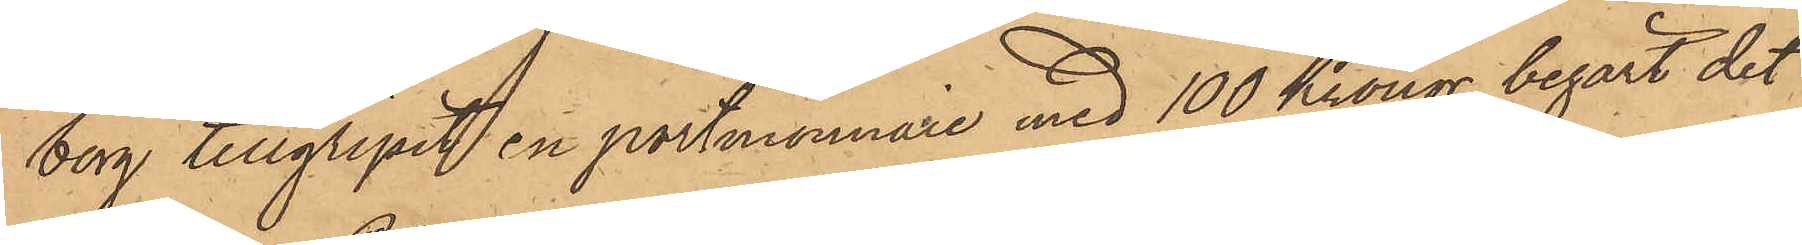borg tillgripit en portmonnaie med 100 Kronor, begärt det
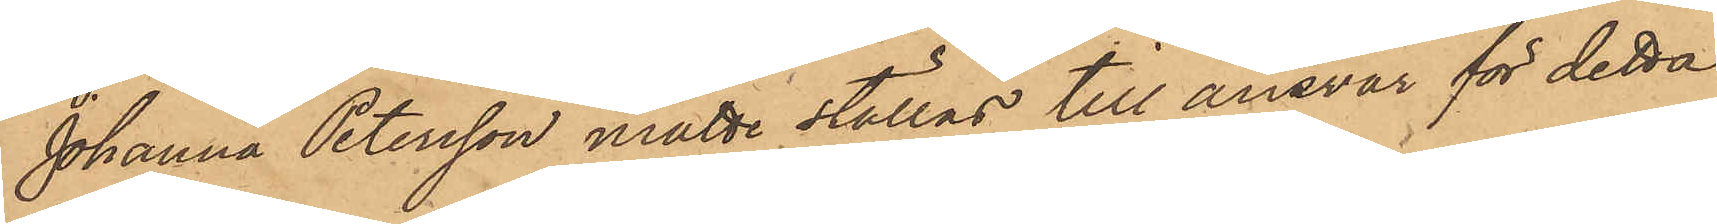Johanna Petersson måtte ställas till ansvar för detta
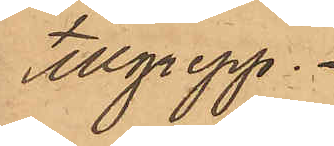tillgrepp.
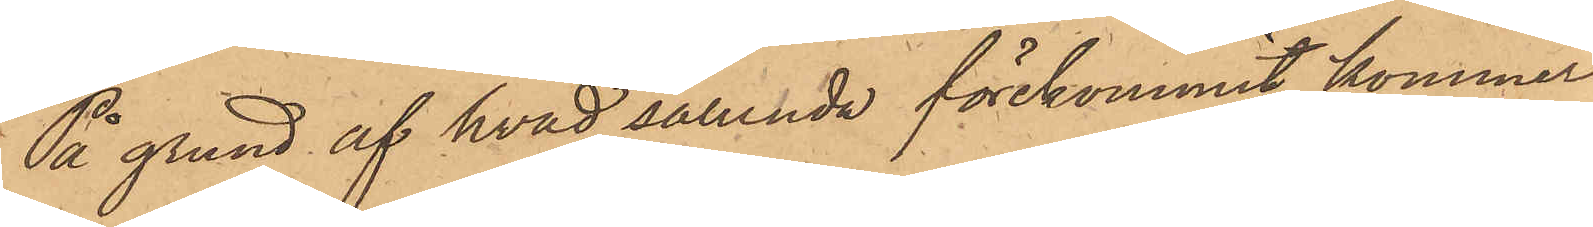På grund af hvad sålunda förekommit, kommer
